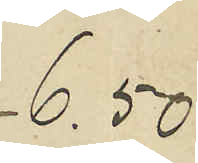6,50
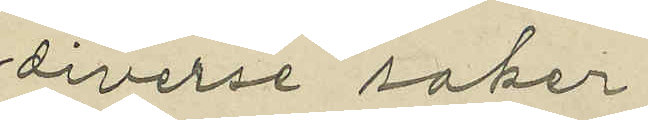diverse saker
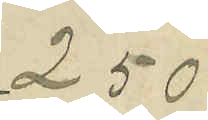2,50
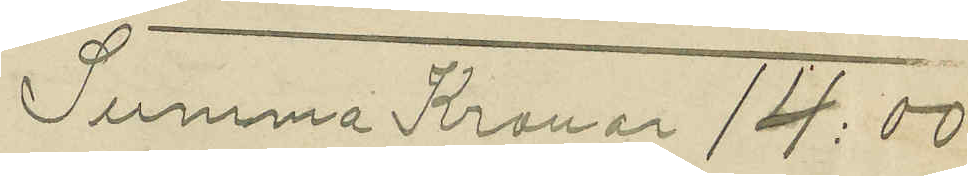Summna Kronor 14:00
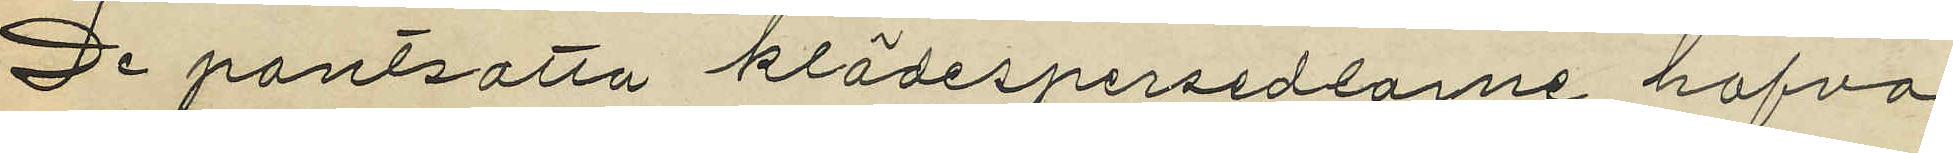De pantsatta klädespersedlarne hafva
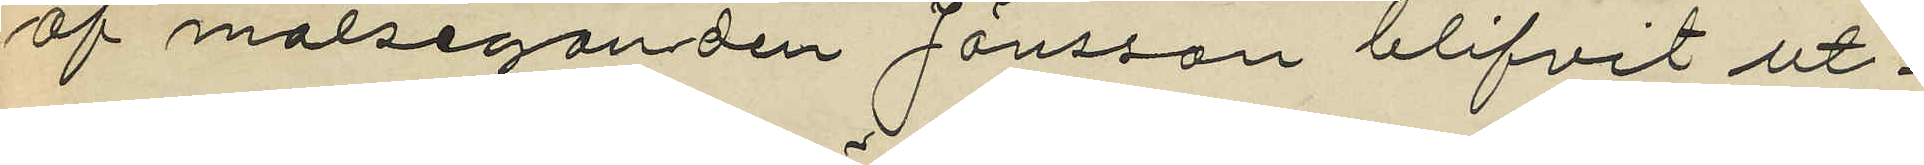af målseganden Jönsson blifvit ut¬
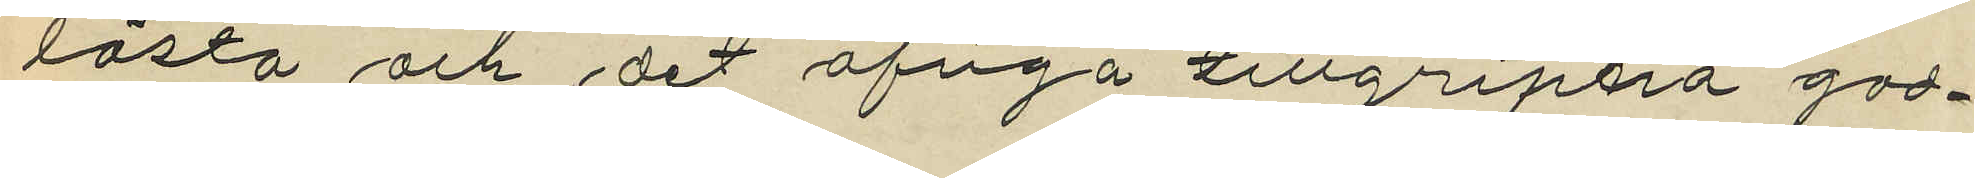lösta och det öfriga tillgripna god¬
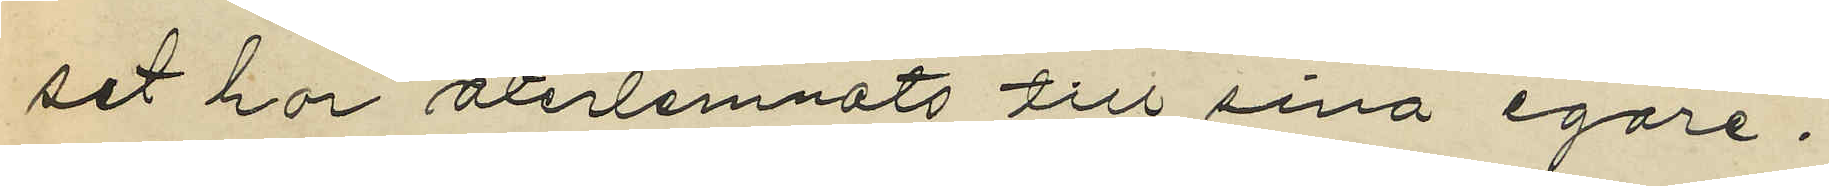set har återlemnats till sina egare.
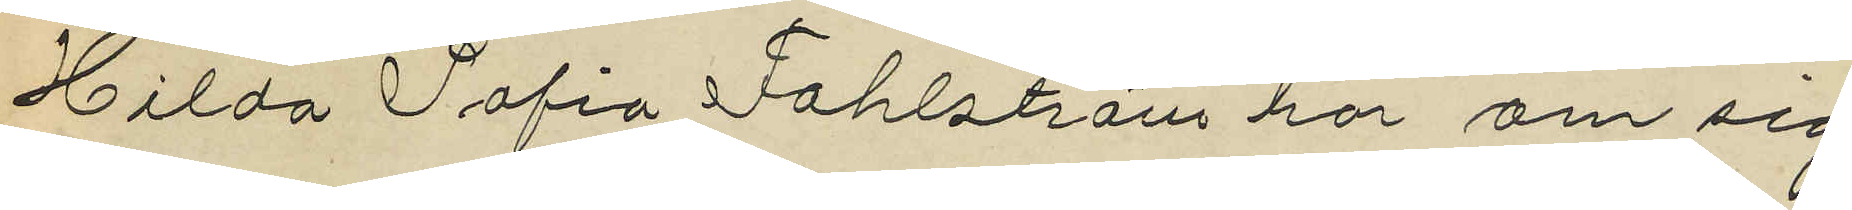Hilda Sofia Fahlström har om sig
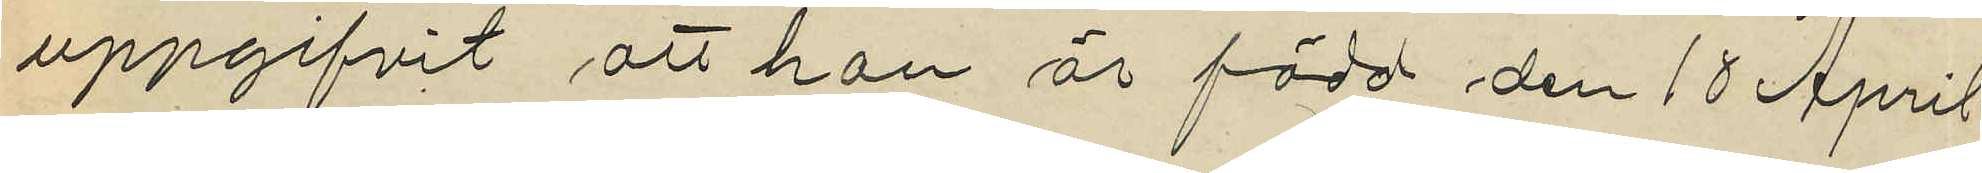uppgifvit att hon är född den 18 April
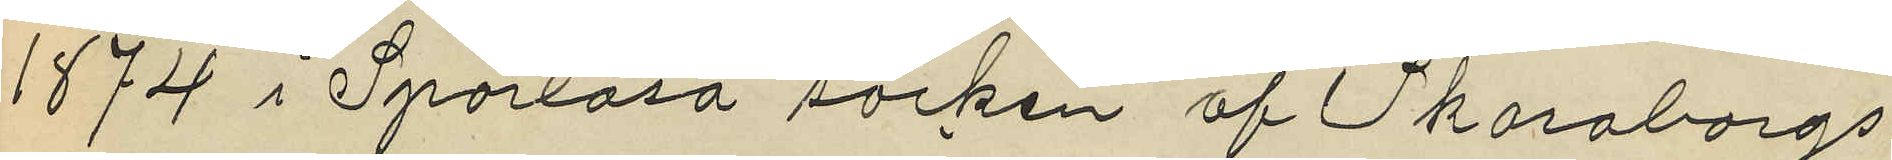1874 i Sparlösa socken af Skaraborgs
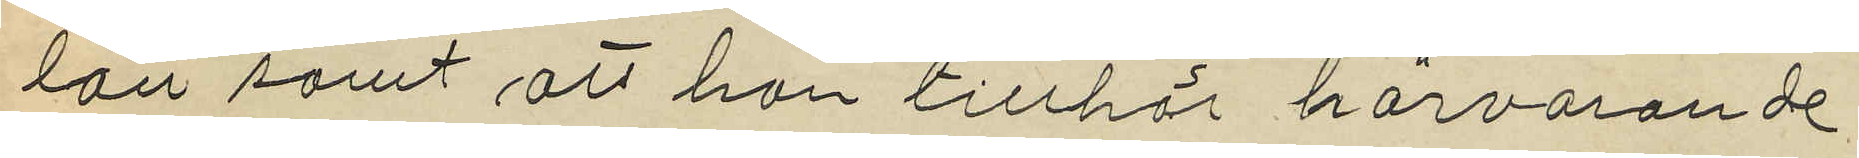län samt att hon tillhör härvarande
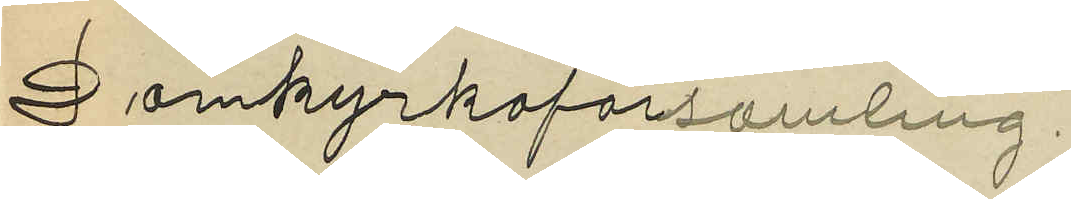Domkyrkoförsamling.
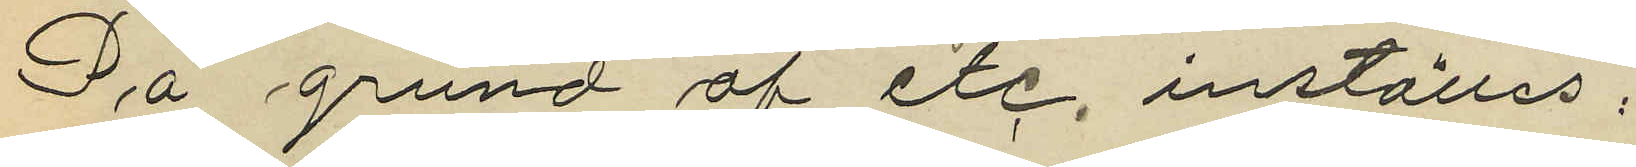På grund af etc. inställas;
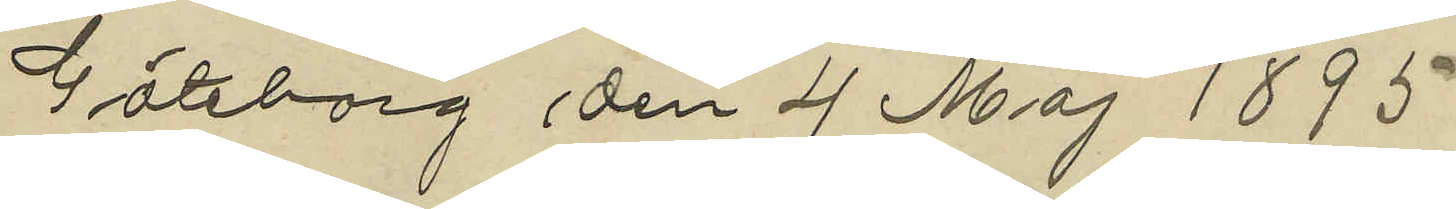Göteborg den 4 Maj 1895
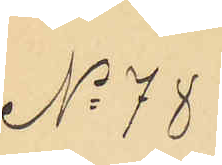No 78
